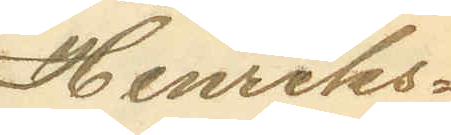Henriks¬
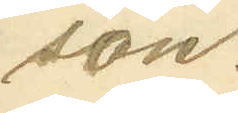son.
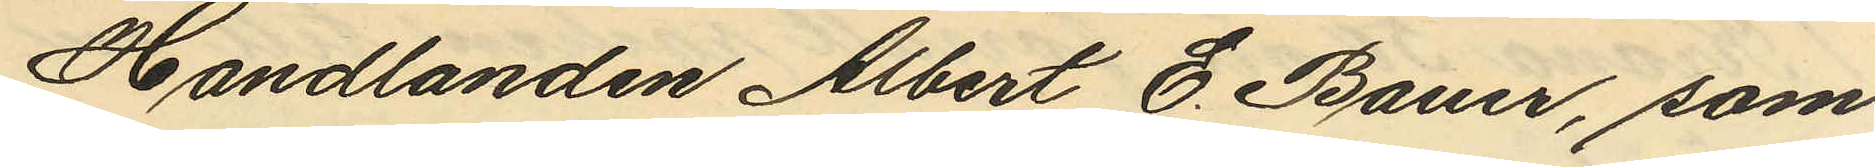Handlanden Albert E. Bauer, som
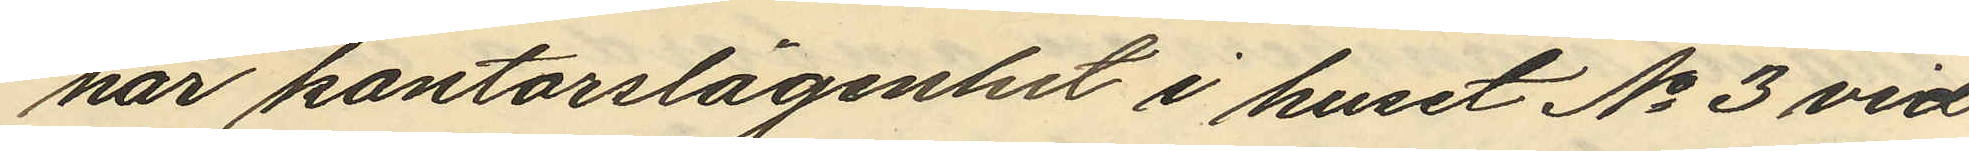har kontorslägenhet i huset No 3 vid
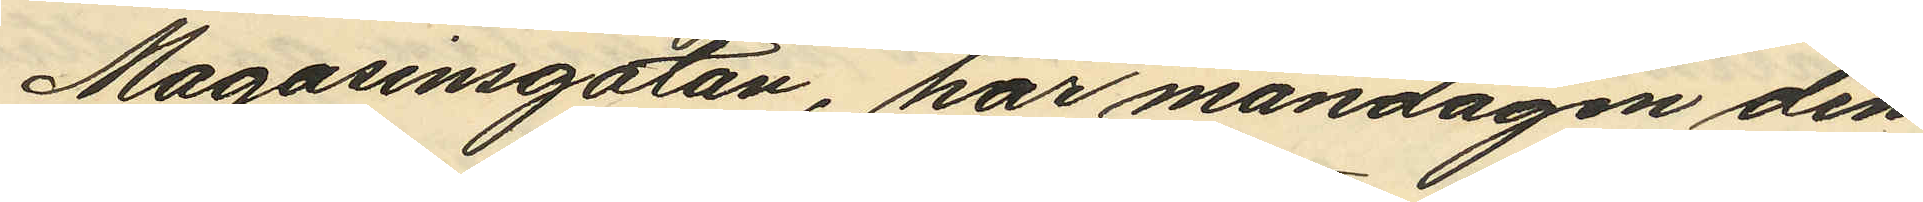Magasinsgatan, har måndagen den
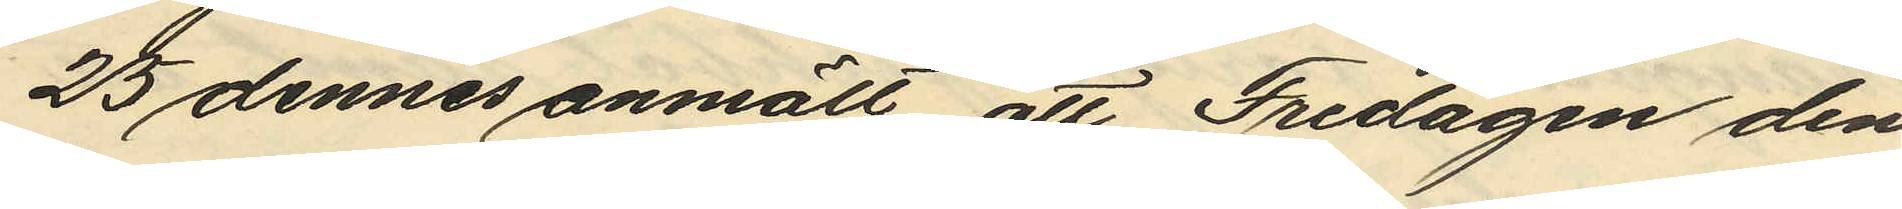25 dennes anmält, att Fredagen den
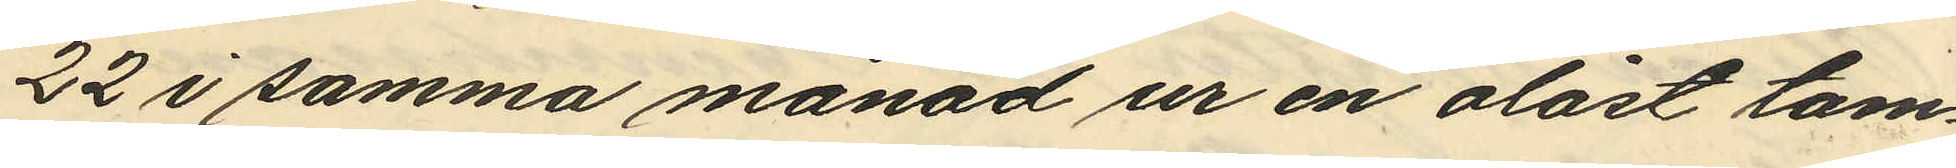22 i samma månad ur en olåst tam¬
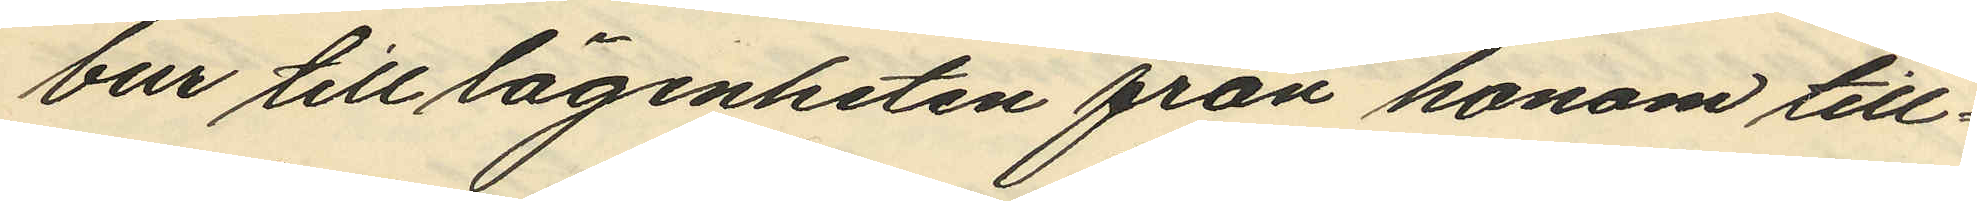bur till lägenheten från honom till¬
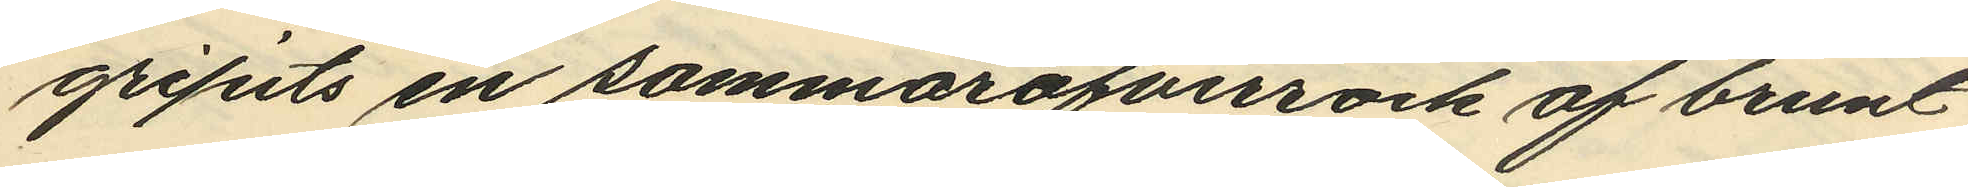gripits en sommaröfverrock af brunt
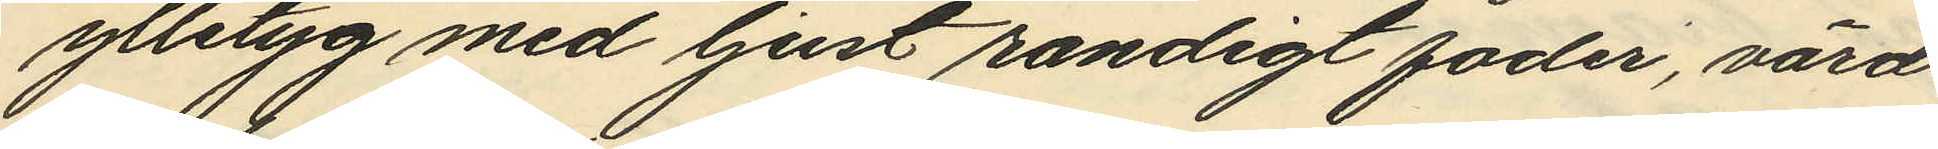ylletyg med ljust randigt foder, värd
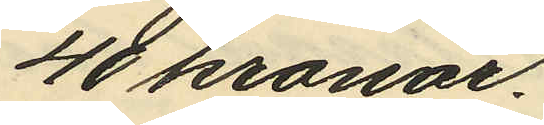48 kronor.
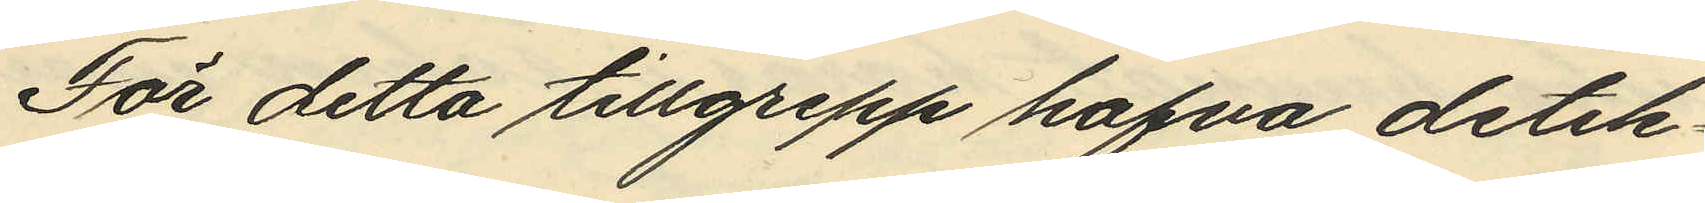För detta tillgrepp hafva detek¬
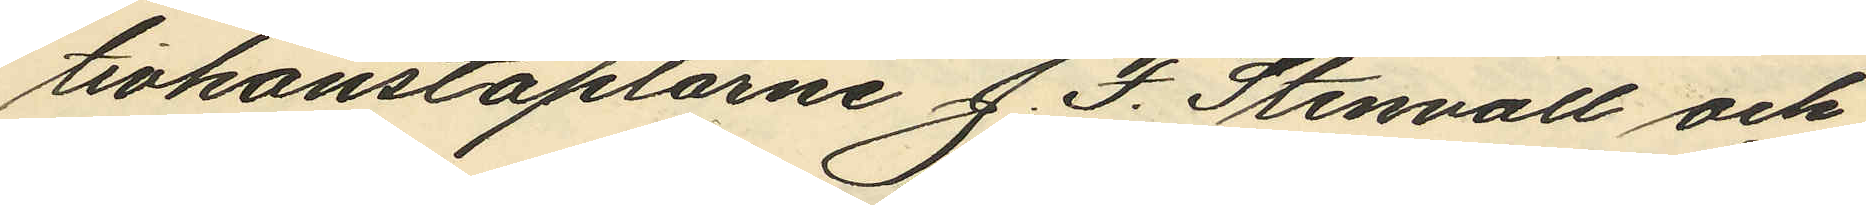tivkonstaplarne J. F. Stenvall och
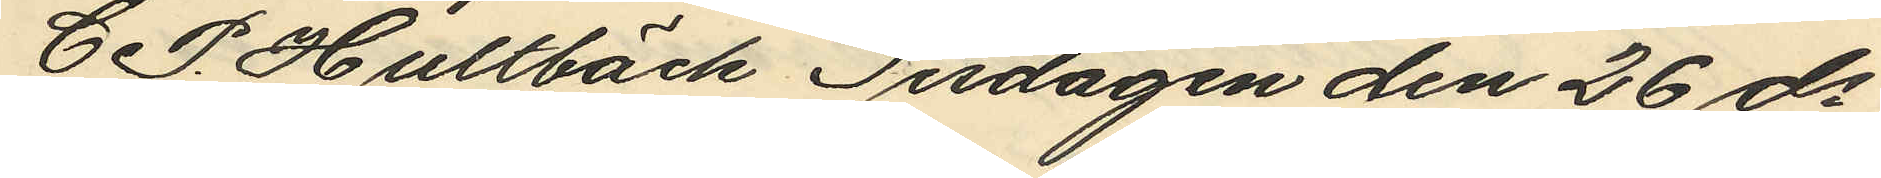C. P. Hultbäck Tisdagen den 26 ds
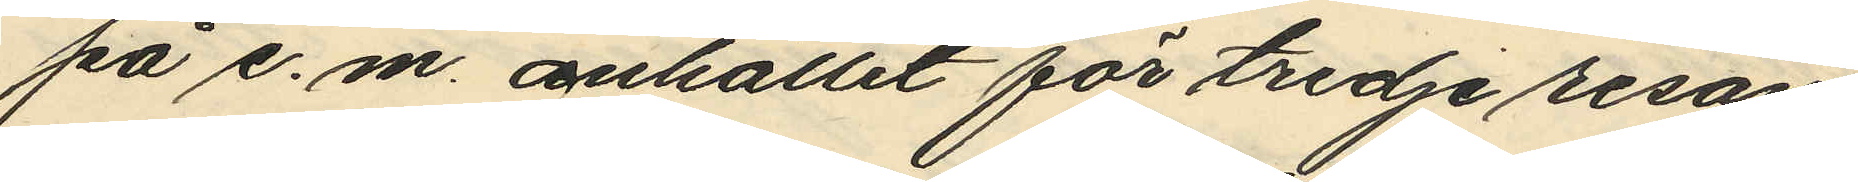på e. m. anhållit för tredje resan
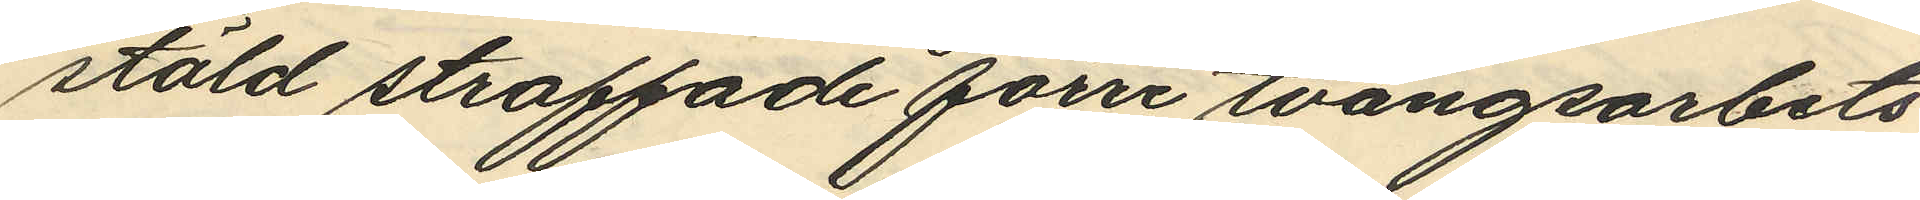stöld straffade förre tvångsarbets
